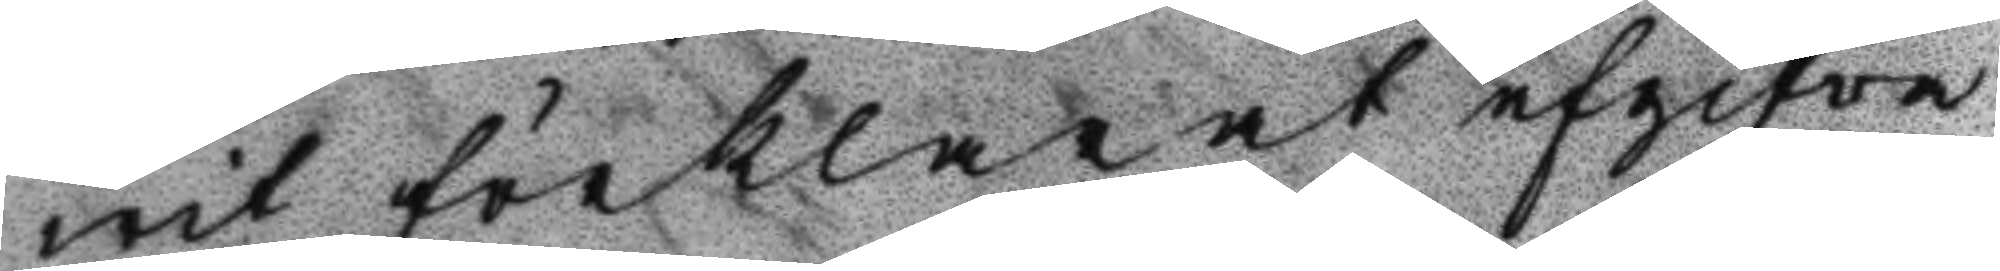wit förklarat afgifva
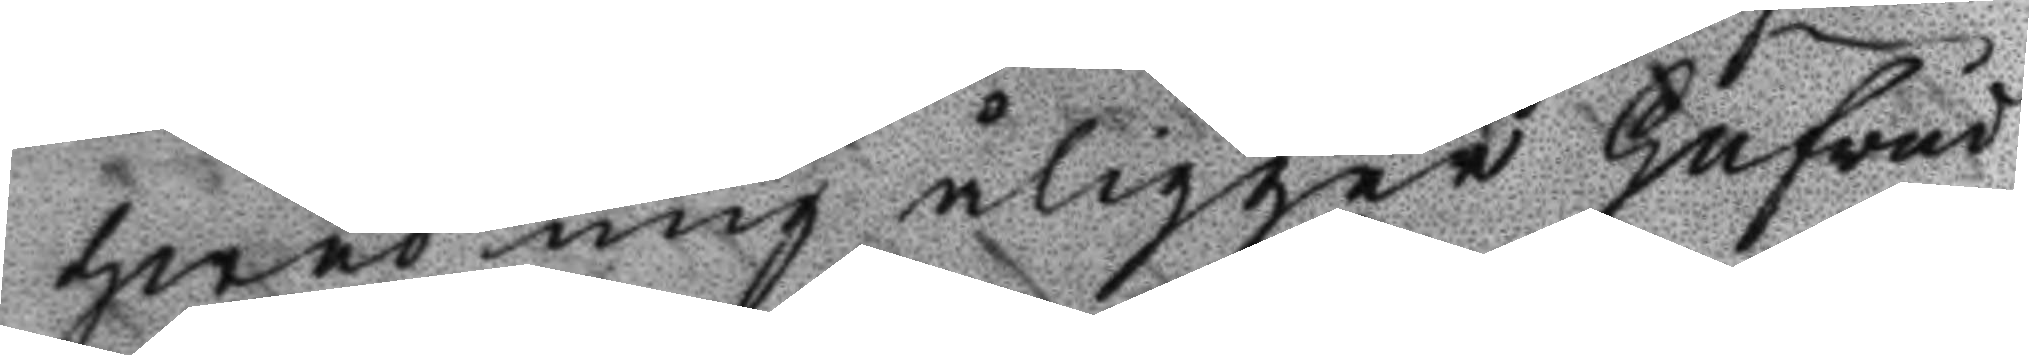hwad mig åligger Hufvud
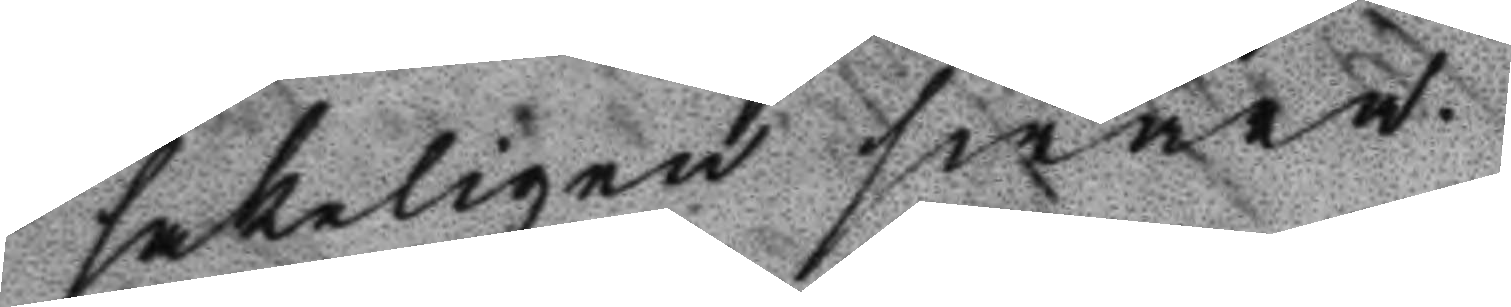sakligen swara.
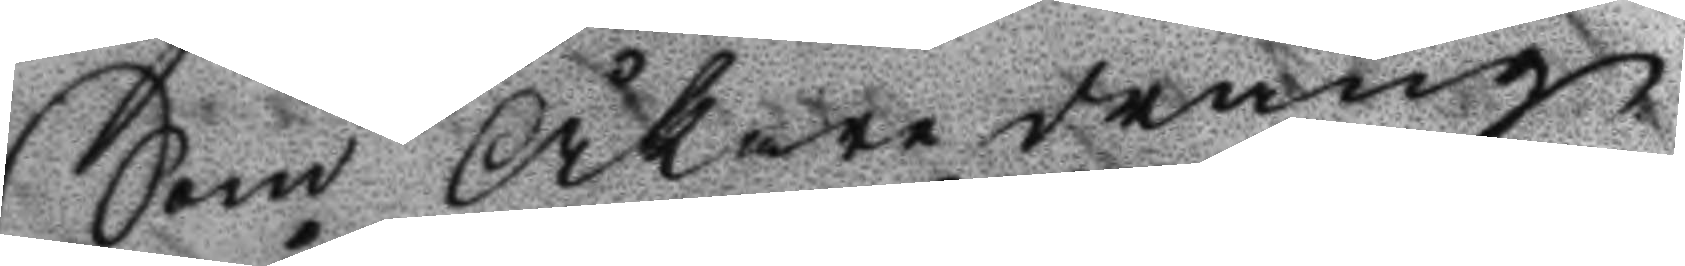Som Åkare dräng
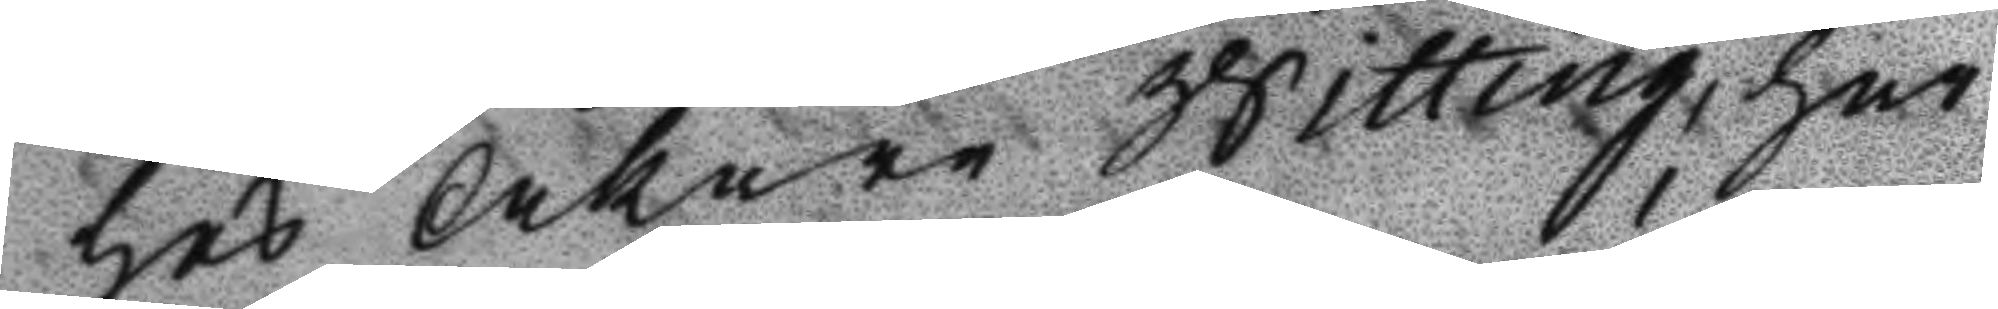hos Åkare Witting, har
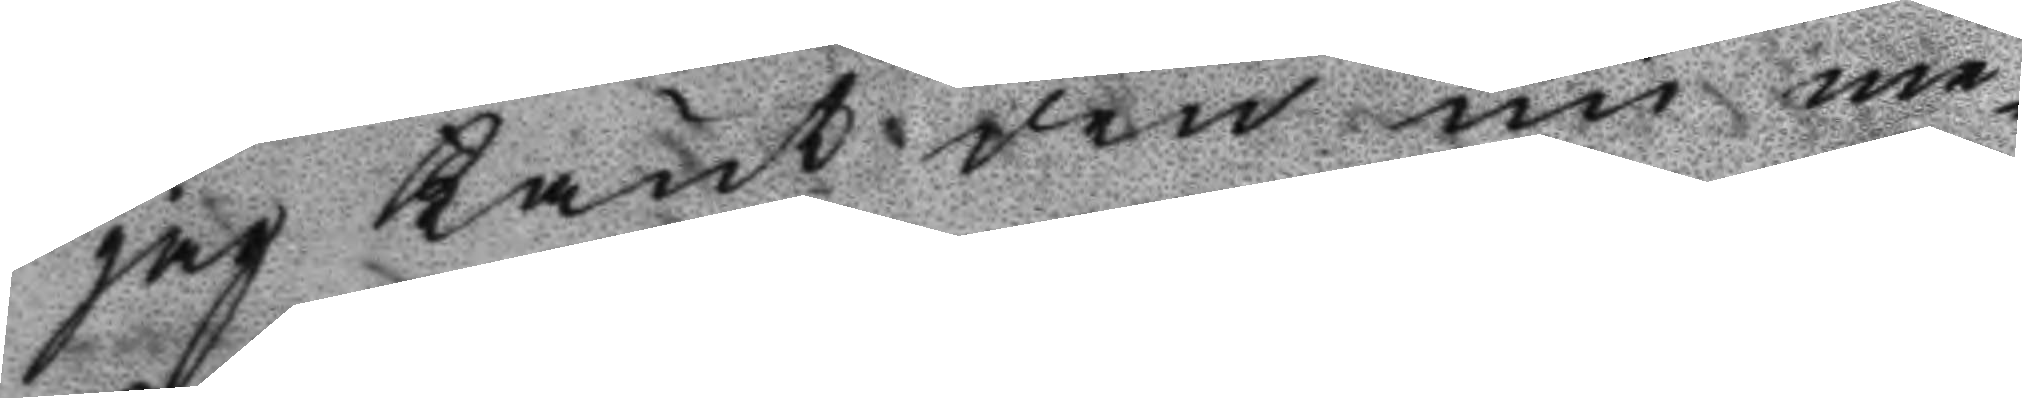jag känt den nu me¬
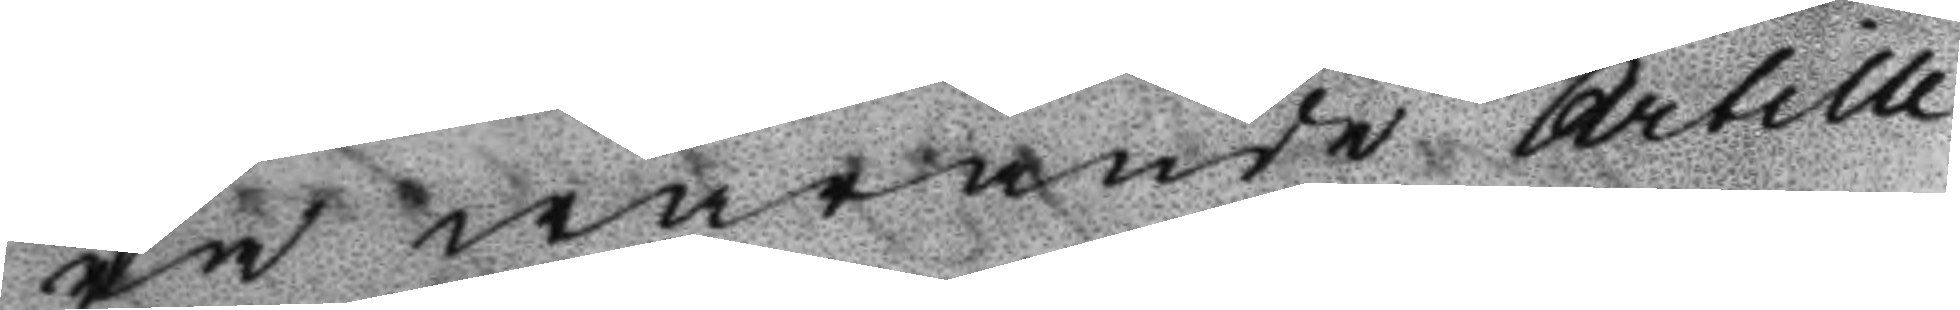ra warande Artille¬
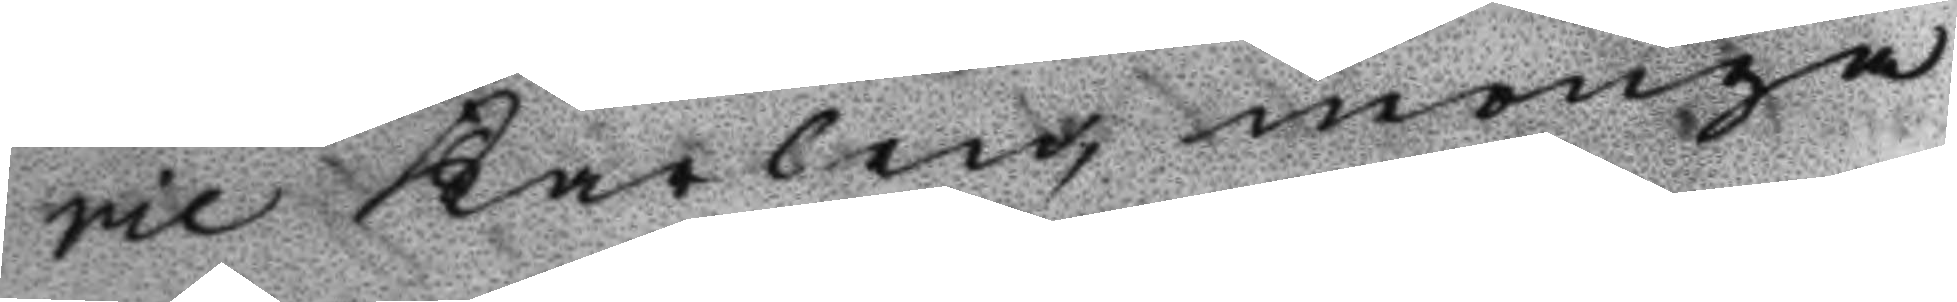rie karlen, monga
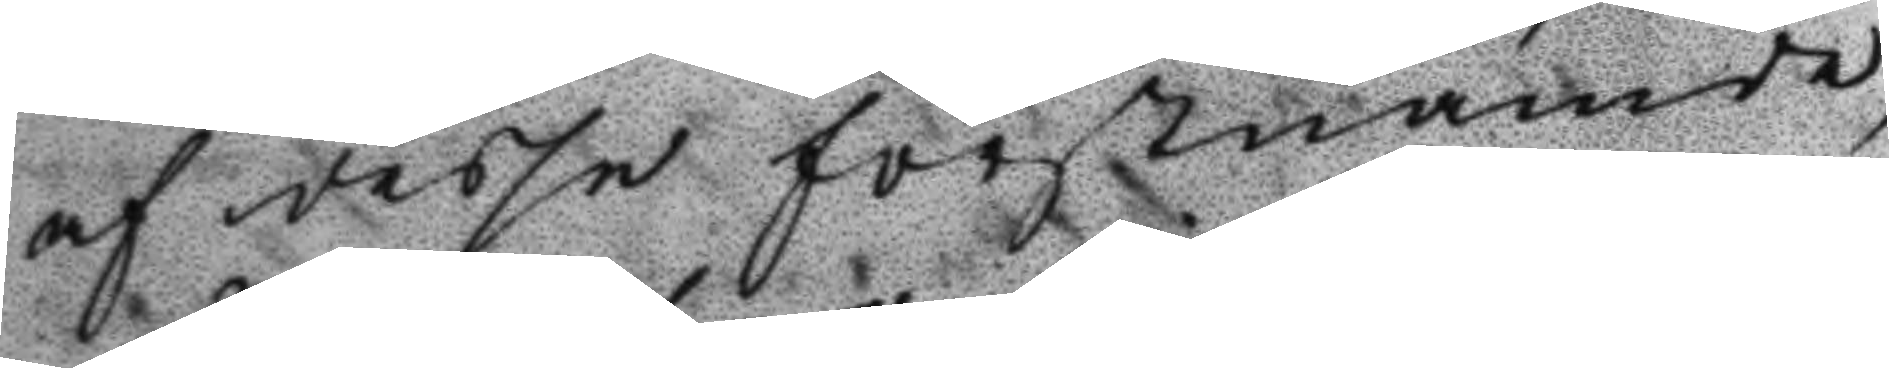af desse förstnämde
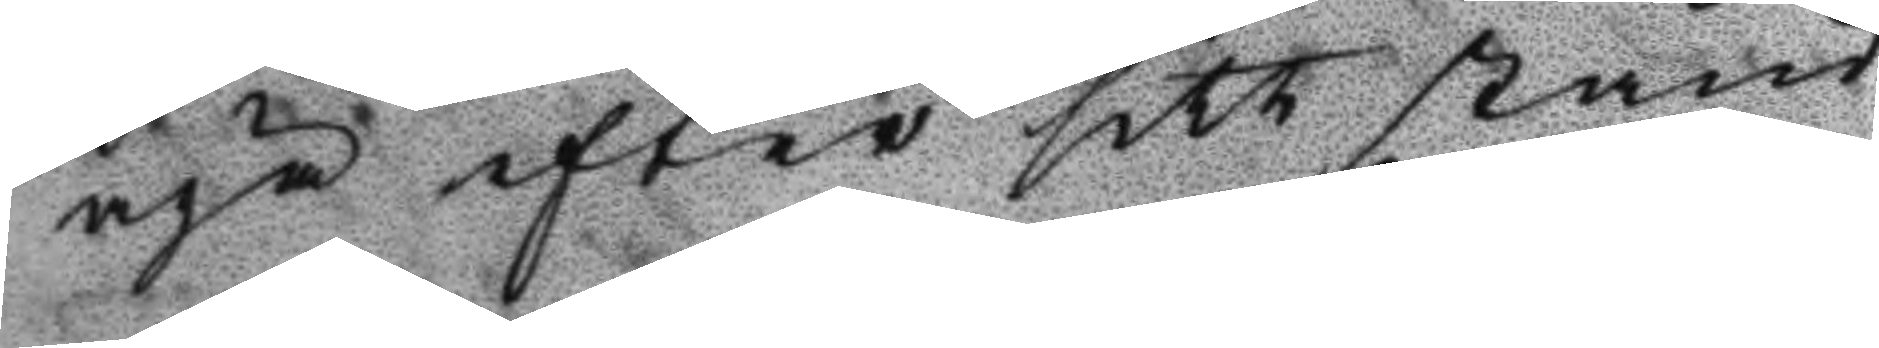äga efter sitt stånd
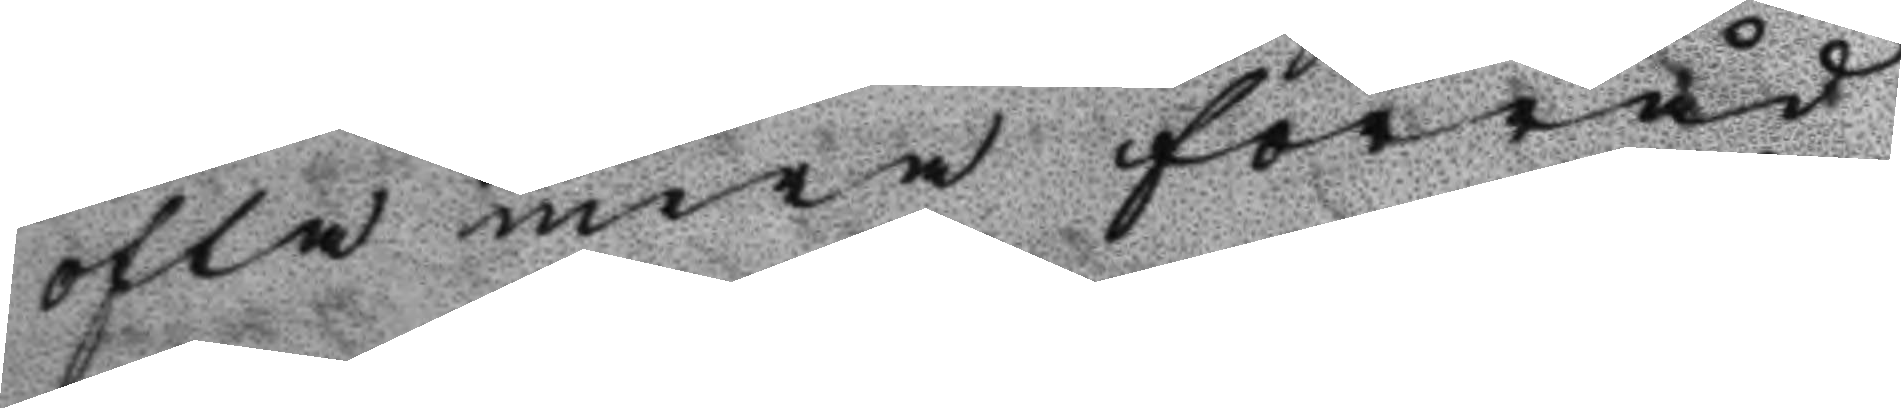ofta mera förråd
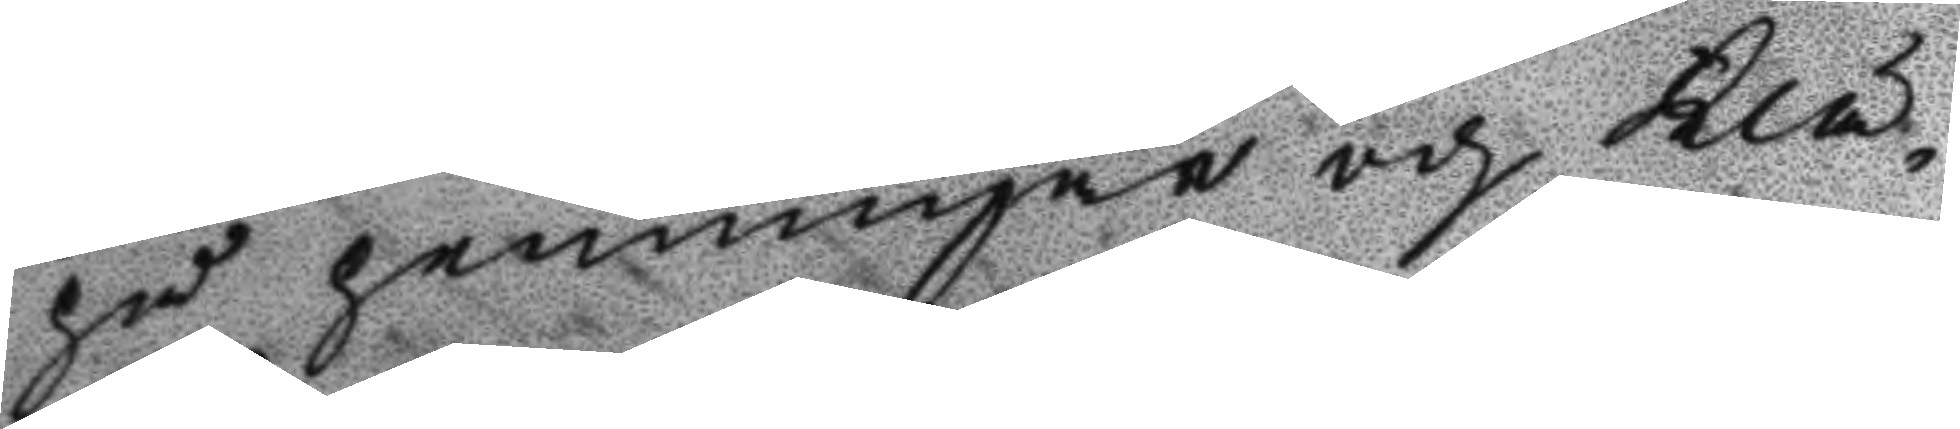på penningar och klä¬
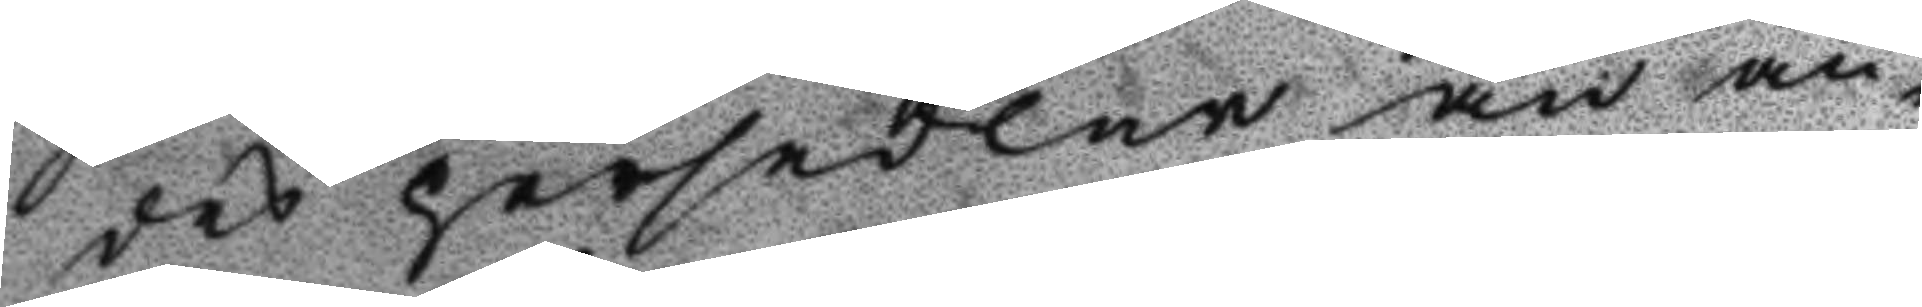des persedlar än an¬
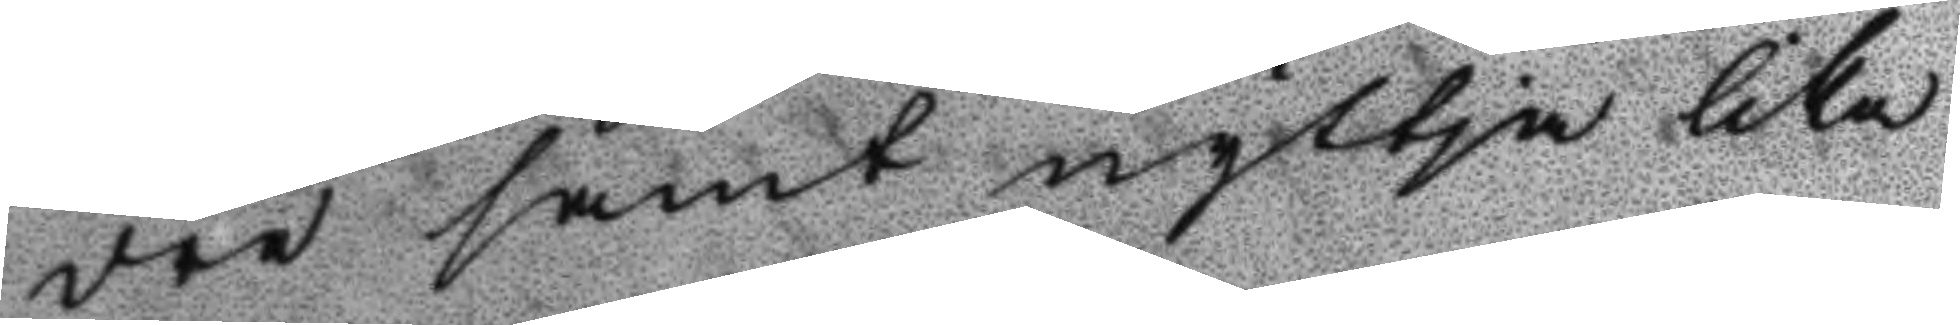dra samt nyttja lika
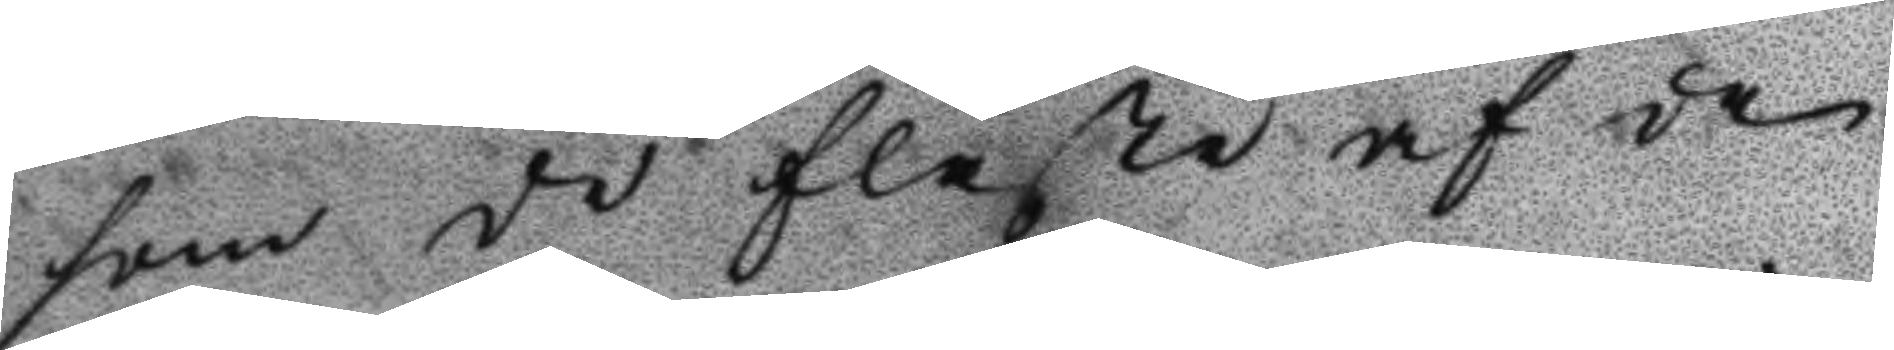som de flästa af de
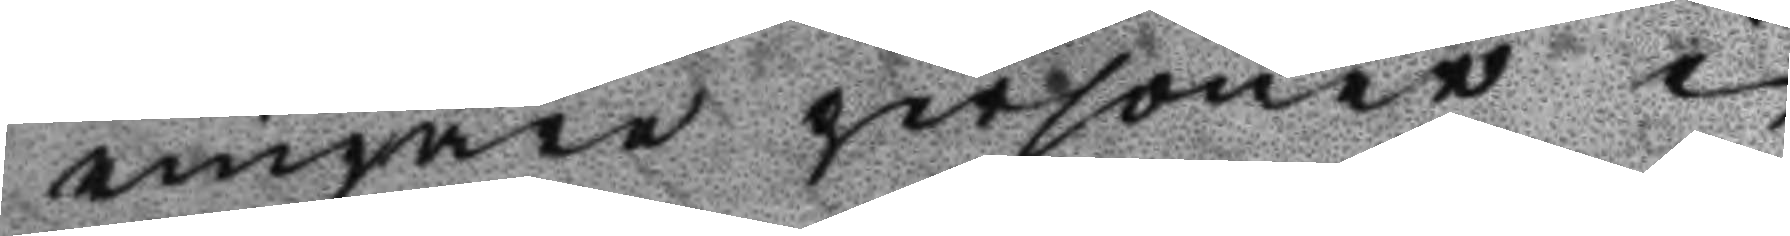ringare personer i
